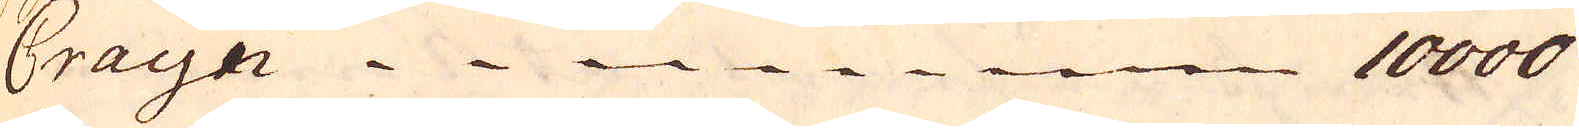Crayn 10000
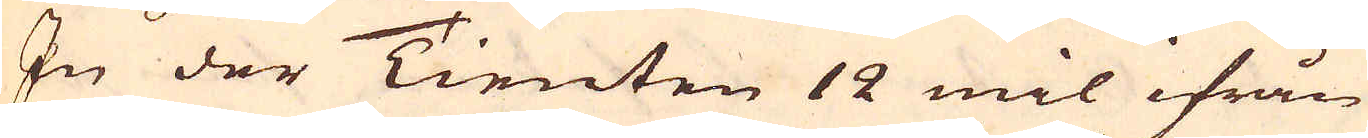In der Tienten 12 mil ifrån
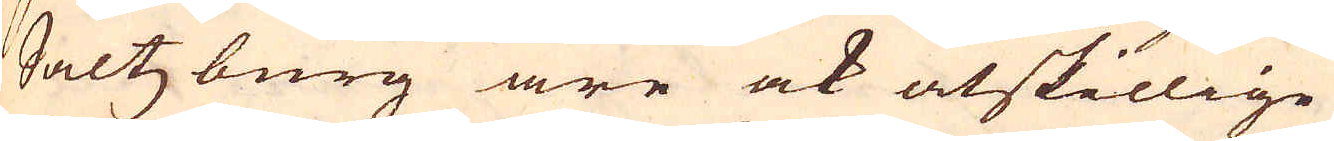Saltzburg äre ock åtskillige
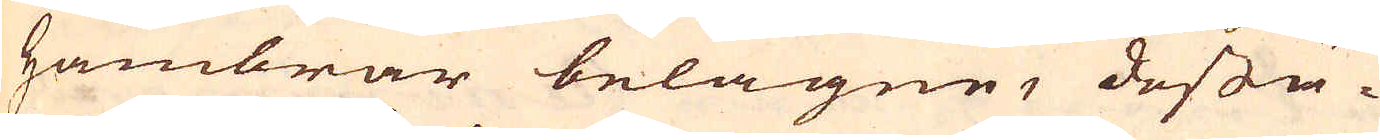hambrar belägne, dessu-
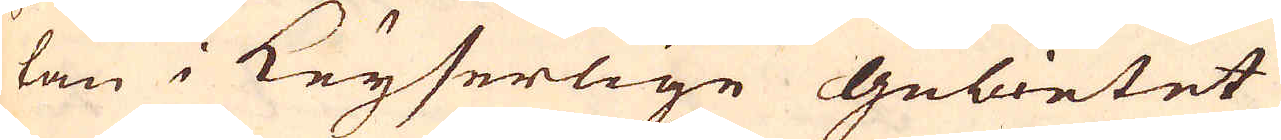tan i Keyserlige gebietet
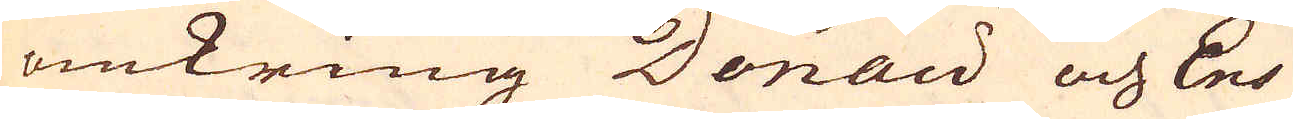omkring Donau och Ens
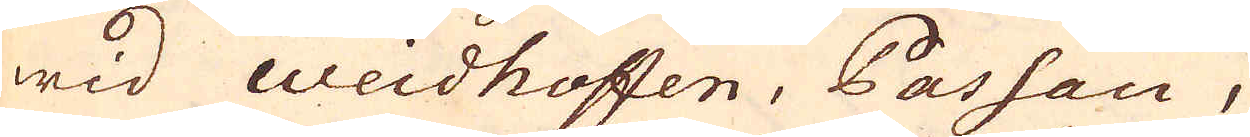wid Weidhoffen, Passau,
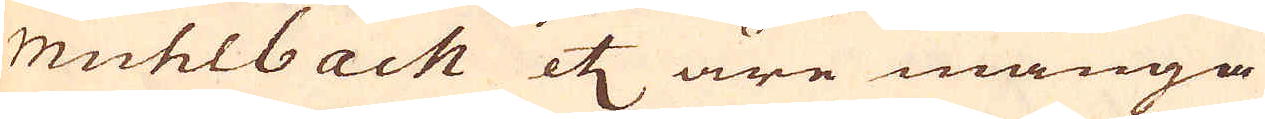muhlbach etc äre många
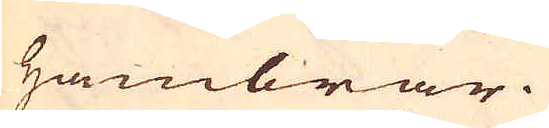hambrar.
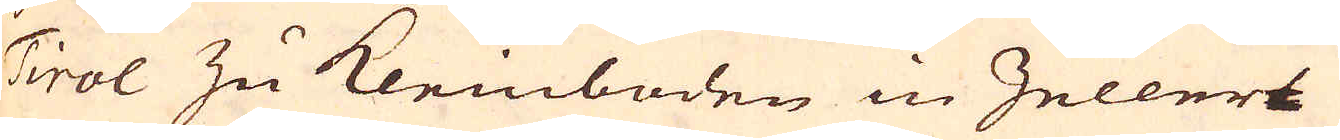Tirol zu kleinboden in Hellers
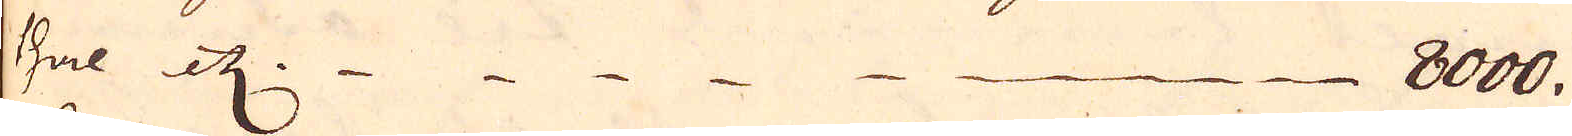Hal etc. 8000.
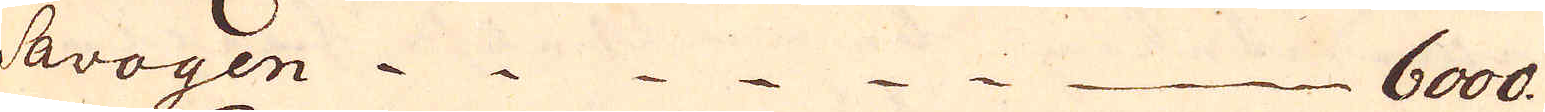Savoyen 6000
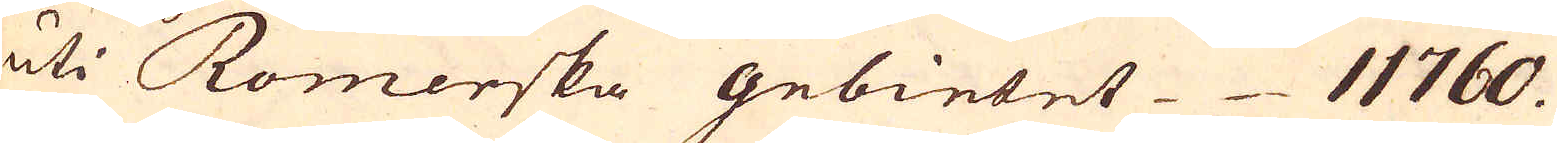uti Romerska gebietet 11760.
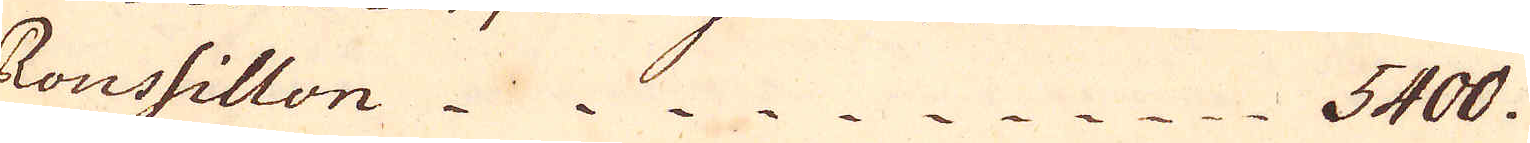Roushillon 5400.
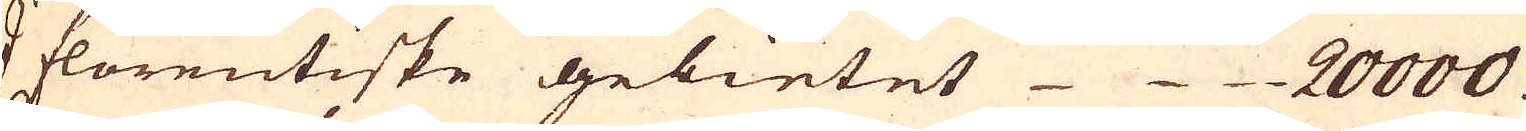I florentiske gebietet 20000
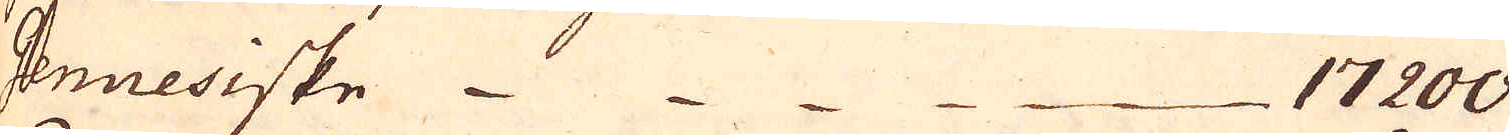Genuesiske 17200
